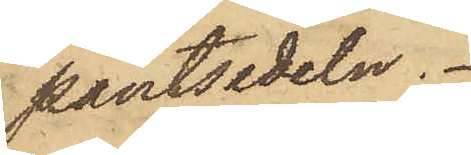pantsedeln.
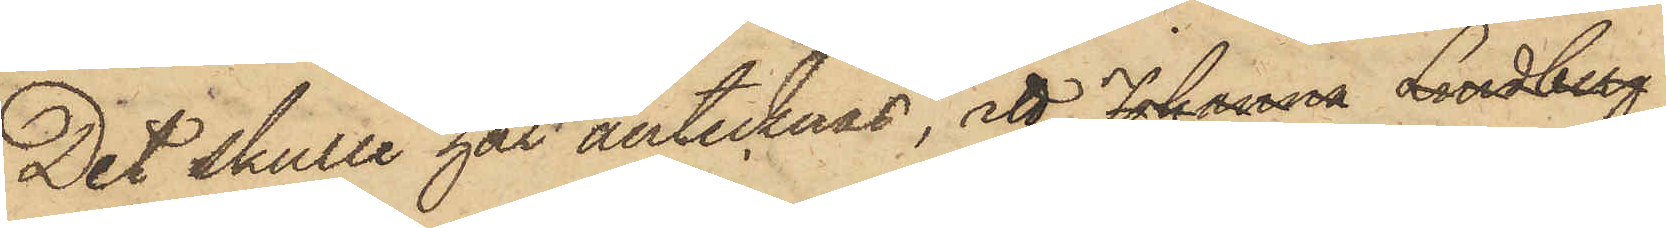Det skulle här antecknas, att Johanna Lindberg
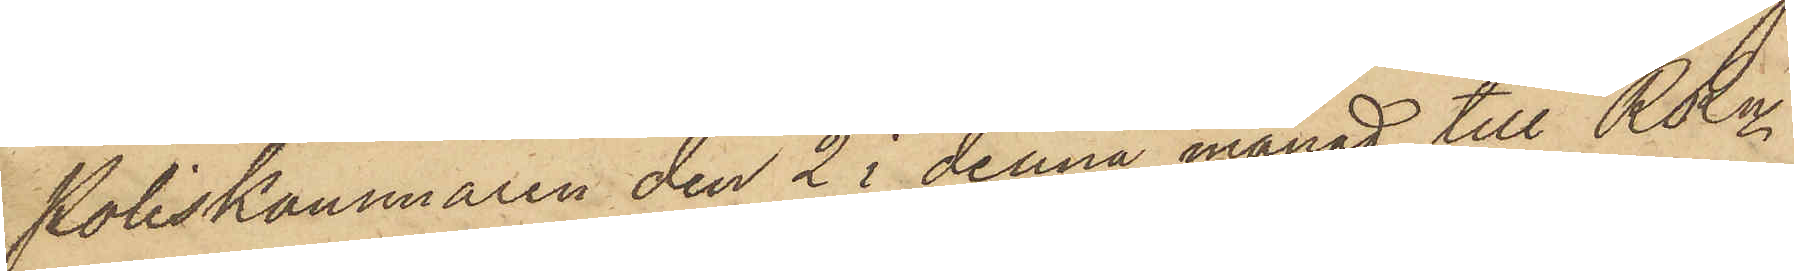Poliskammaren den 2 i denna månad till RRn
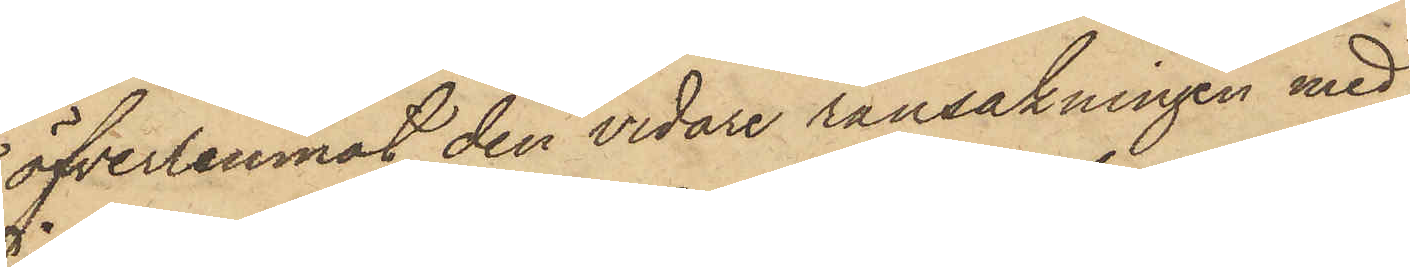öfverlemnat den vidare ransakningen med
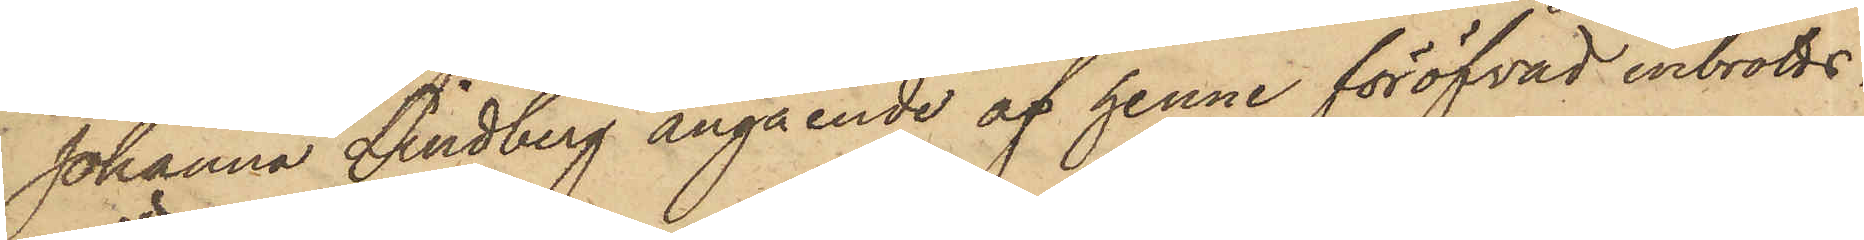Johanna Lindberg angående af henne föröfvad inbrotts¬
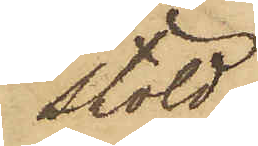stöld.
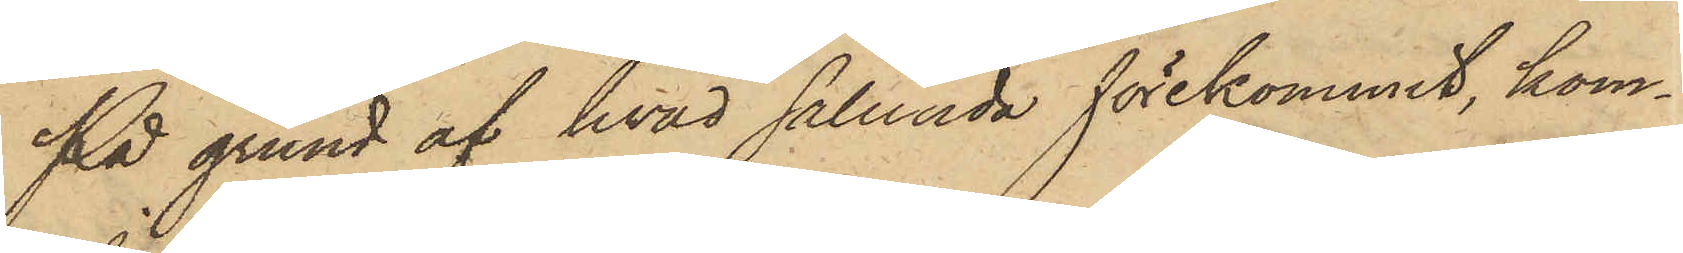På grund af hvad sålunda förekommit, kom¬
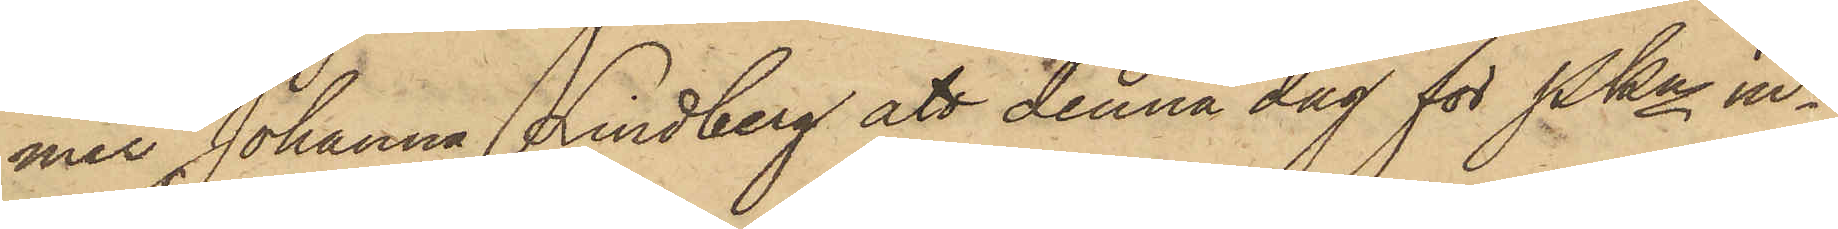mer Johanna Lindberg att denna dag för Pkn in¬
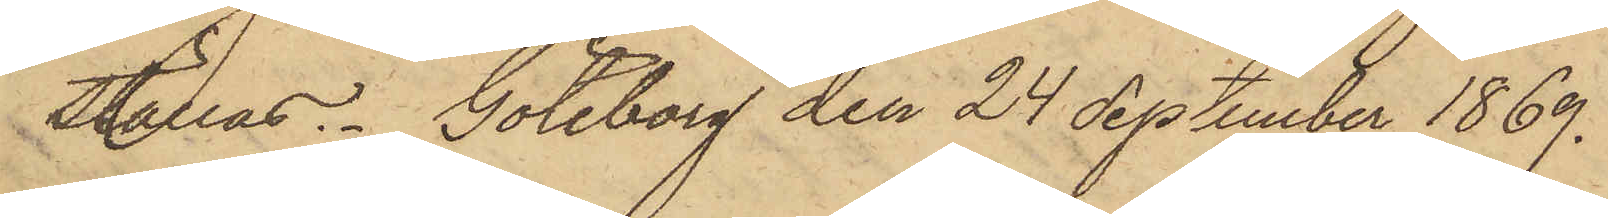ställas. Göteborg den 24 September 1869.
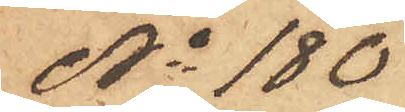No 180
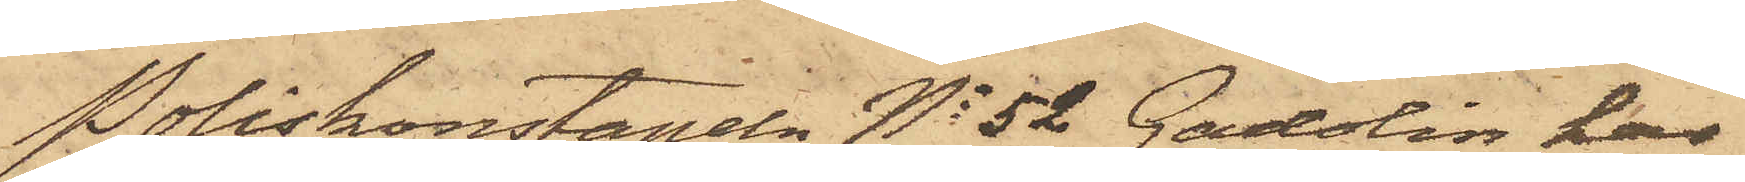Poliskonstapeln No 52 Gadolin har
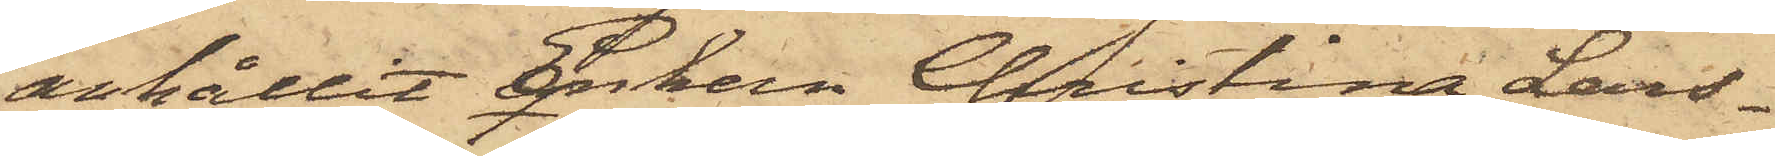anhållit Enkan Christina Lars¬
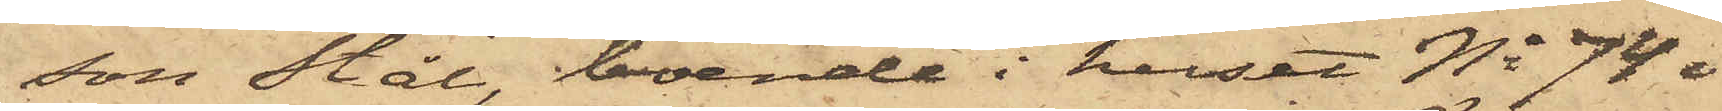son Stål, boende i huset No 74 i
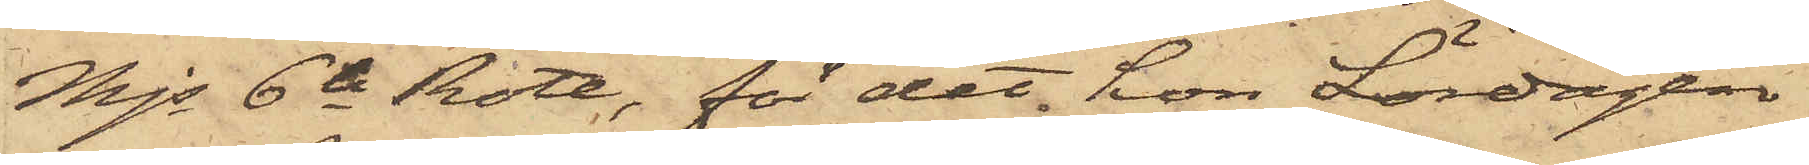Mjs 6te Rote, för det hon Lördagen
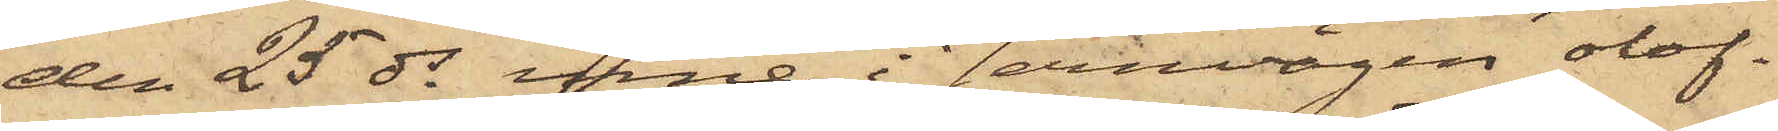den 25 ds inne i Jernvägen olof¬
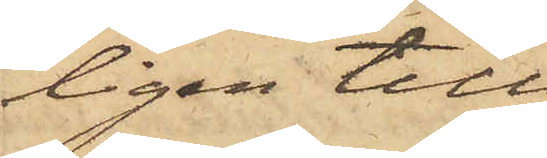ligen till¬
